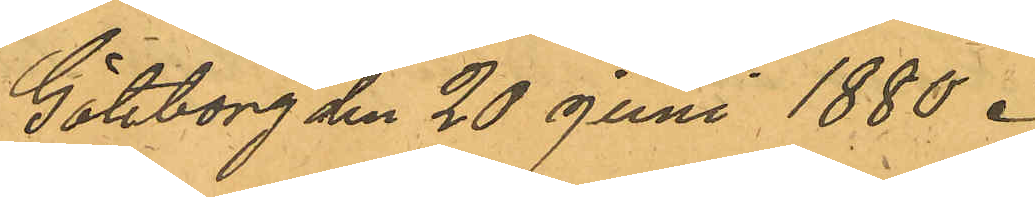Göteborg den 20 Juni 1880.
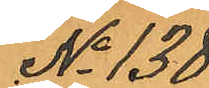No 138
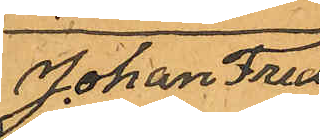Johan Fred¬
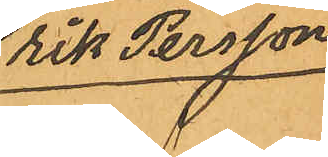rik Persson
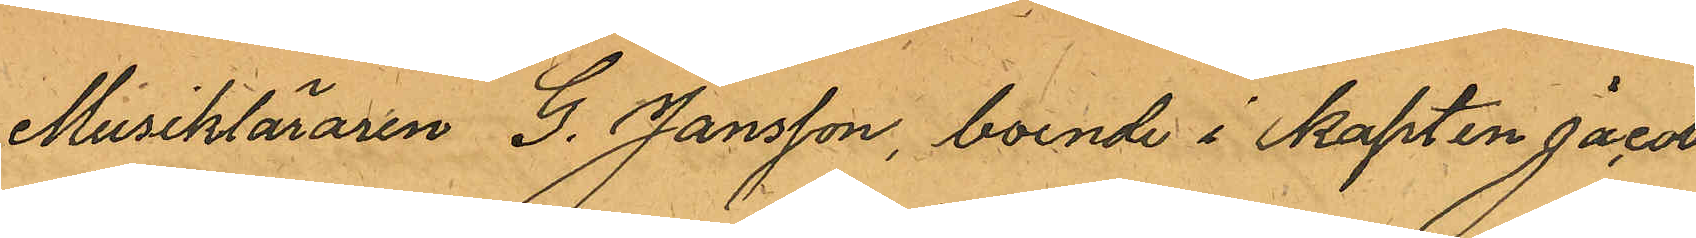Musikläraren G. Jansson, boende i kapten Jacobs¬
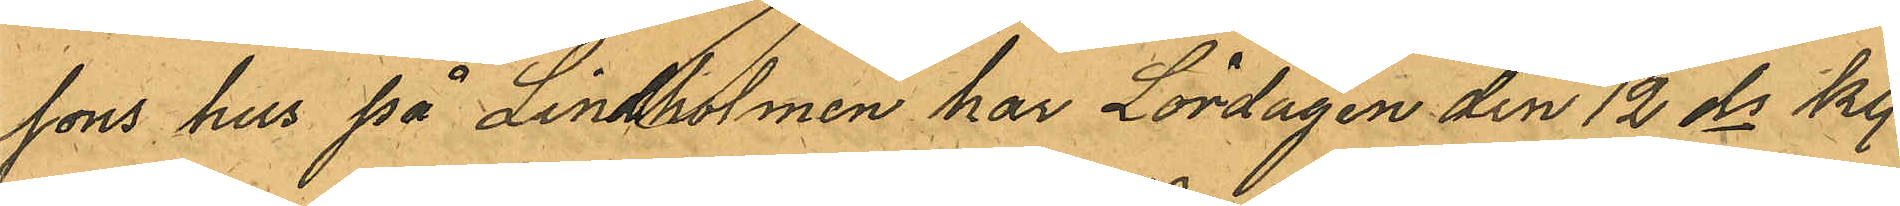sons hus på Lindholmen har Lördagen den 12 ds kl.
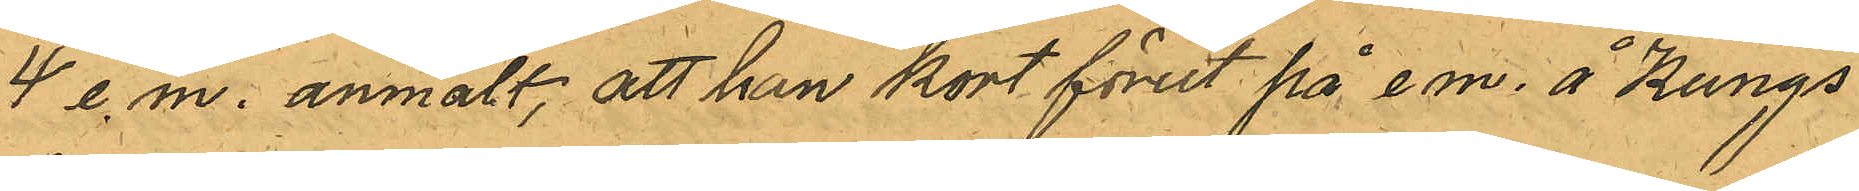4 e. m. anmält, att han kort förut på e.m. å Kungs¬
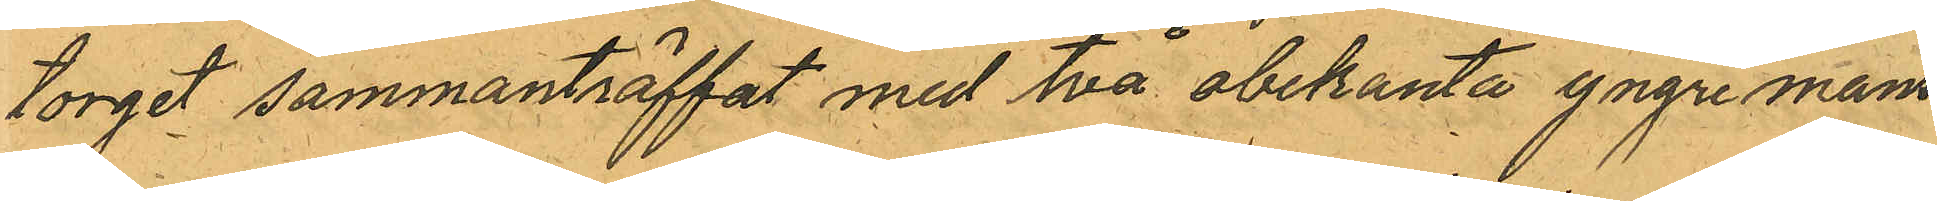torget sammanträffat med två obekanta yngre mans¬
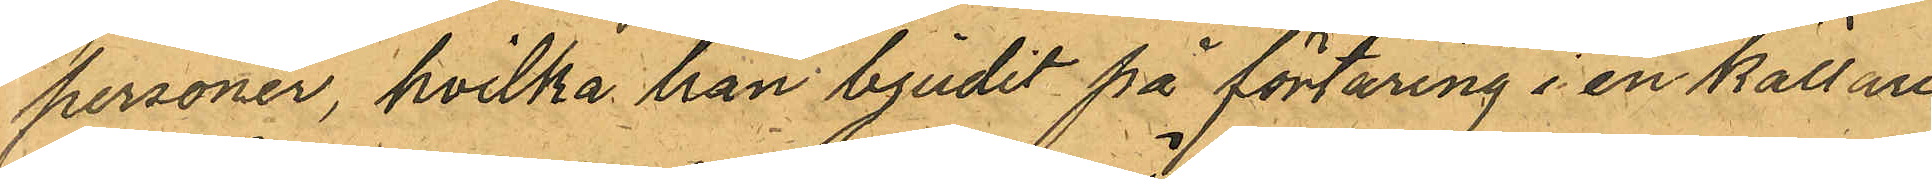personer, hvilka han bjudit på förtäring i en källare
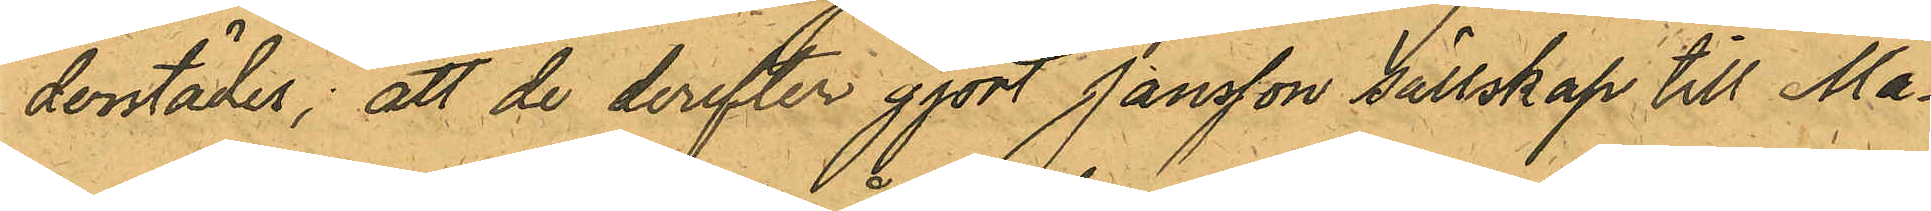därstädes; att de derefter gjort Jansson sällskap till Ma¬
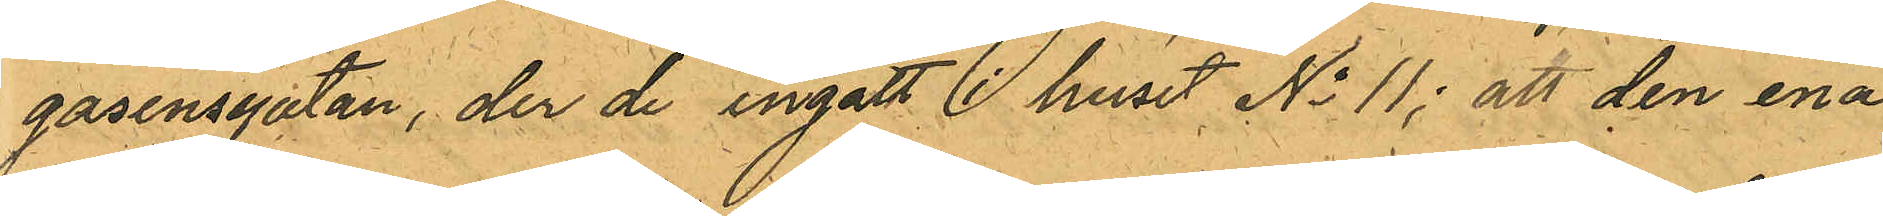gasinsgatan, der de ingått i huset No 11; att den ena
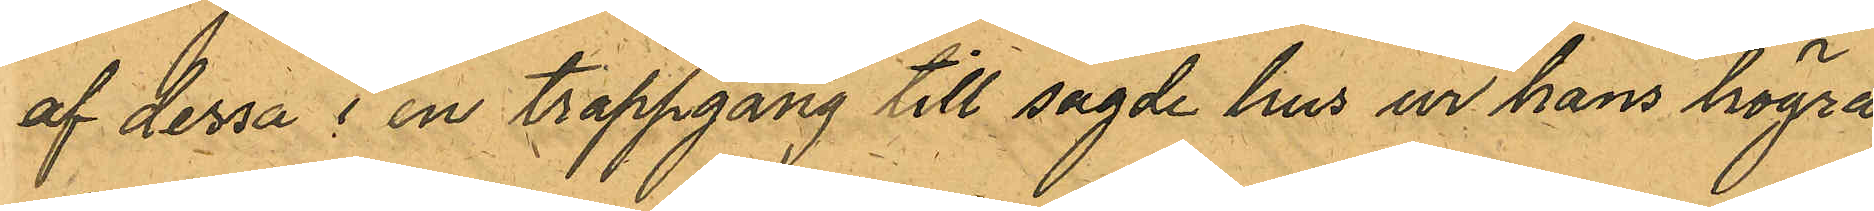af dessa i en trappgång till sagde hus ur hans högra
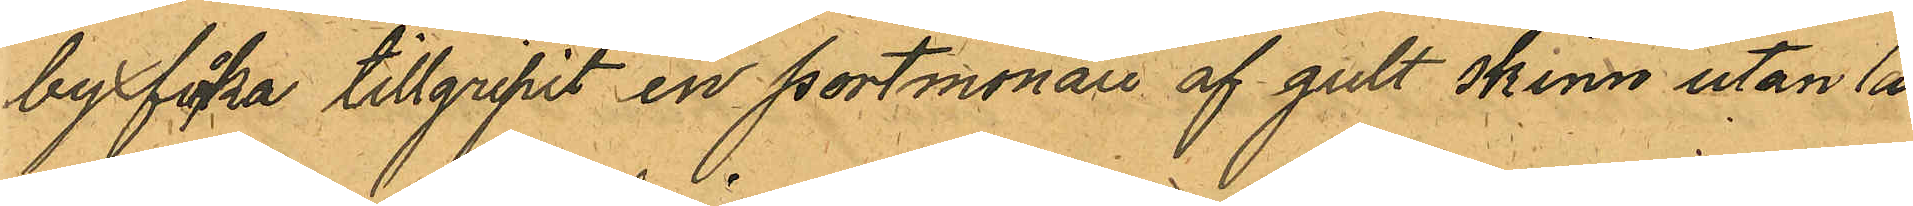byxficka tillgripit en portmonaie af gult skinn utan lås
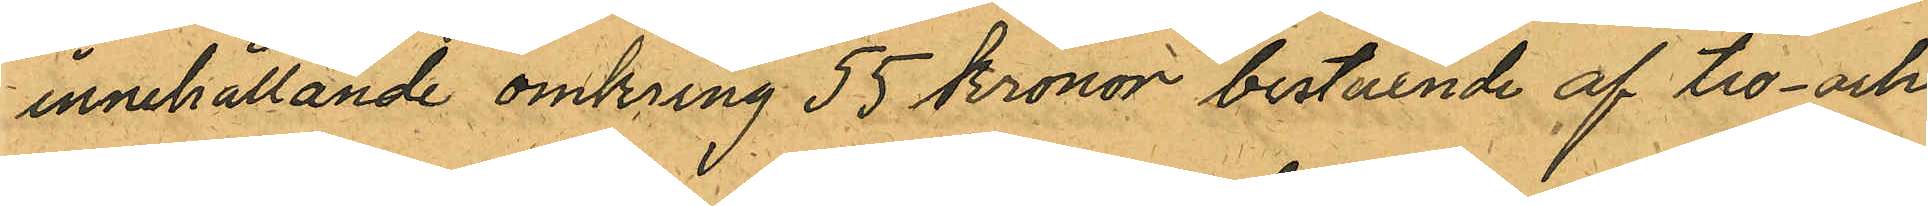innehållande omkring 55 kronor bestående af tio- och
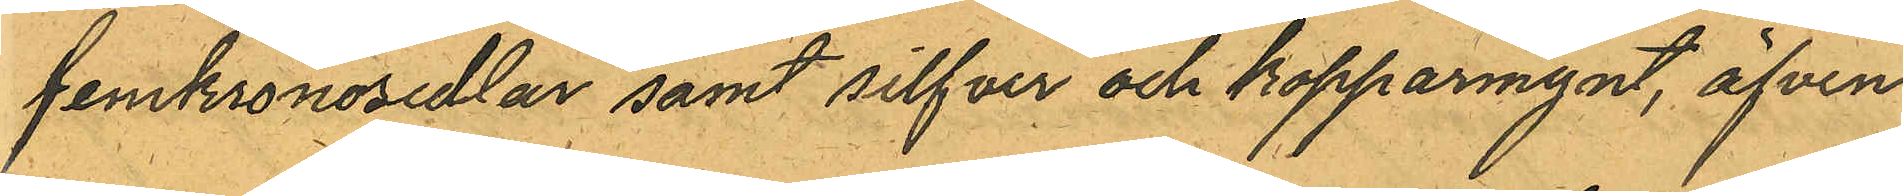femkronosedlar samt silfver och kopparmynt, äfven¬
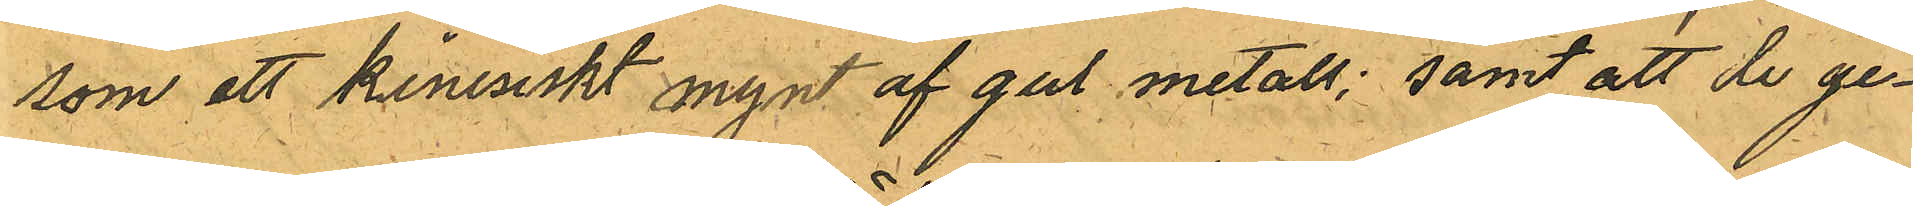som ett kinesiskt mynt af gul metall; samt att de ge¬
